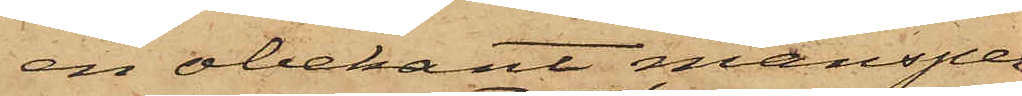, en obekant mansper¬
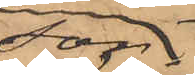son
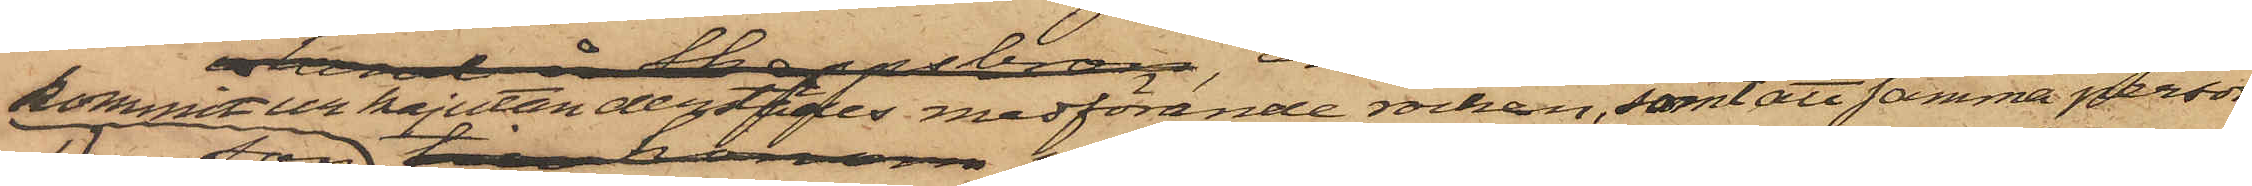kommit ur kajutan derstädes medförande rocken, samt att samma person
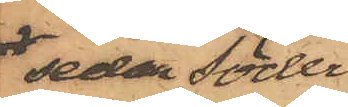sedan Söder¬
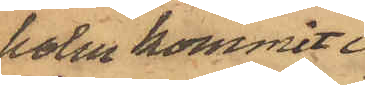holm kommit i
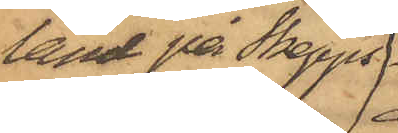land på Skepps¬
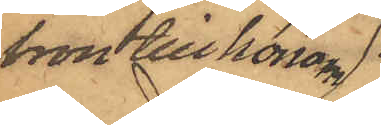bron till honom
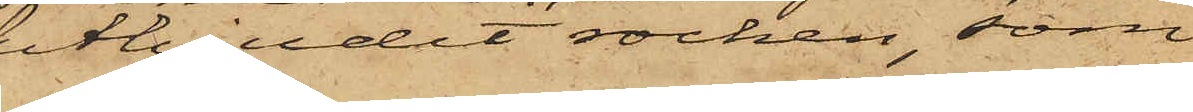utbjudit rocken, som
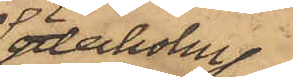Söderholm
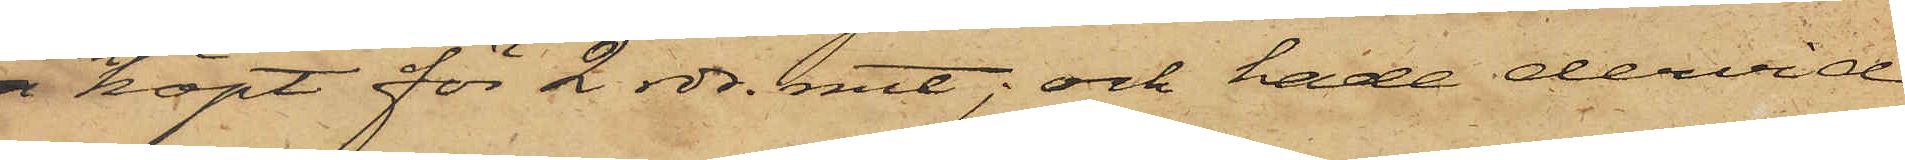köpt för 2 rdr. rmt; och hade dervid
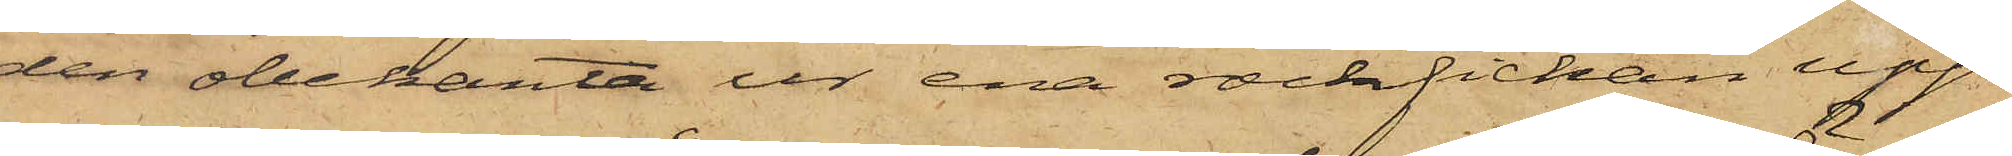den obekanta ur ena rockfickan upp¬
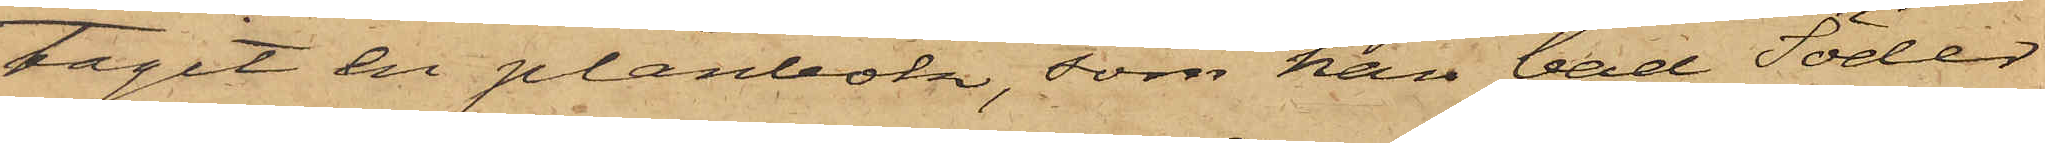tagit en plånbok, som han bad Söder¬
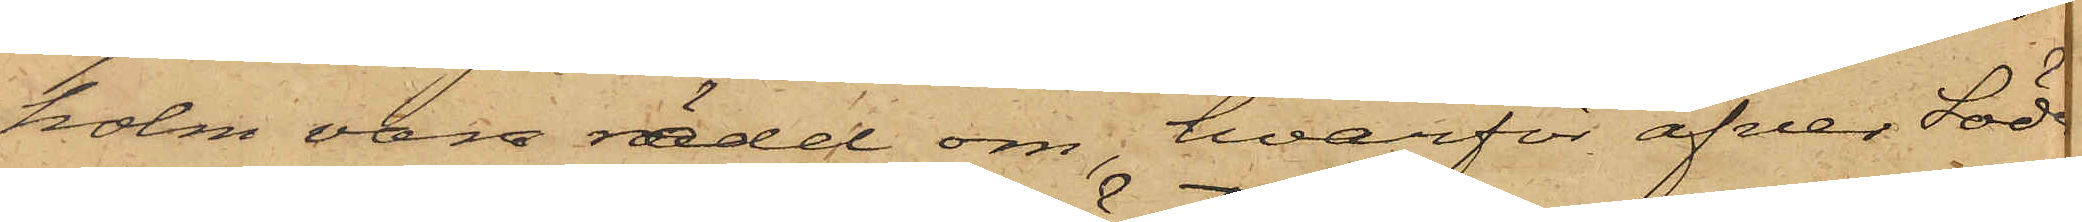holm vara rädd om, hvarför äfven Söde    
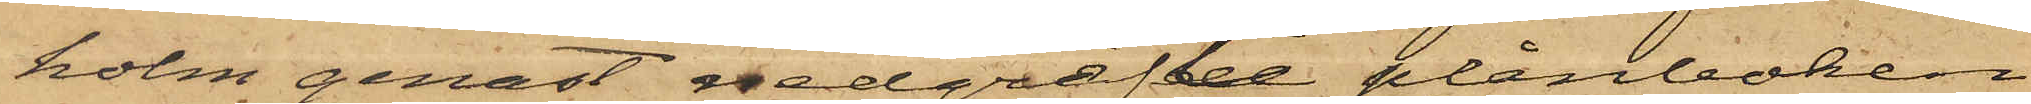holm genast nedgräfte plånboken
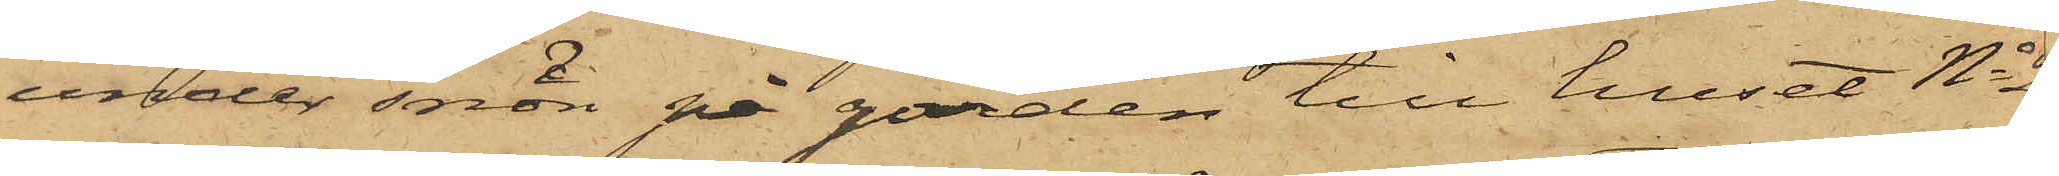under snön på gården till huset No 2   
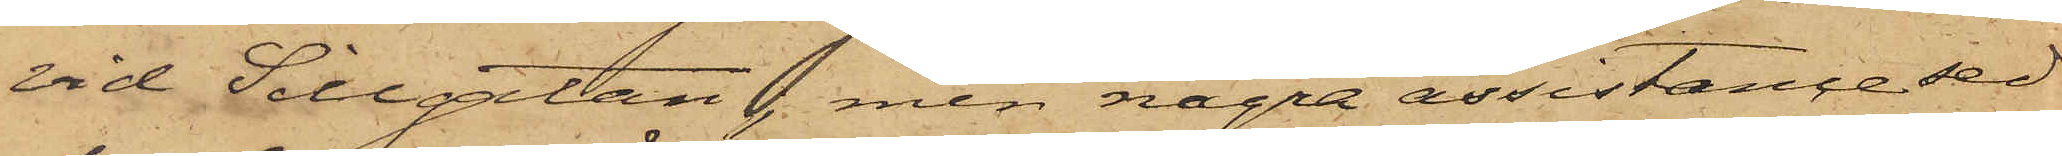vid Sillgatan, men några assistance sed¬
